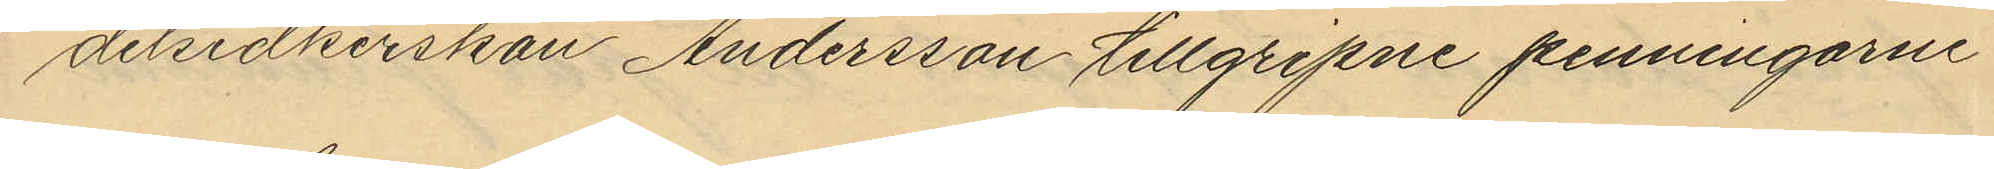delsidkerskan Andersson tillgripne penningarne
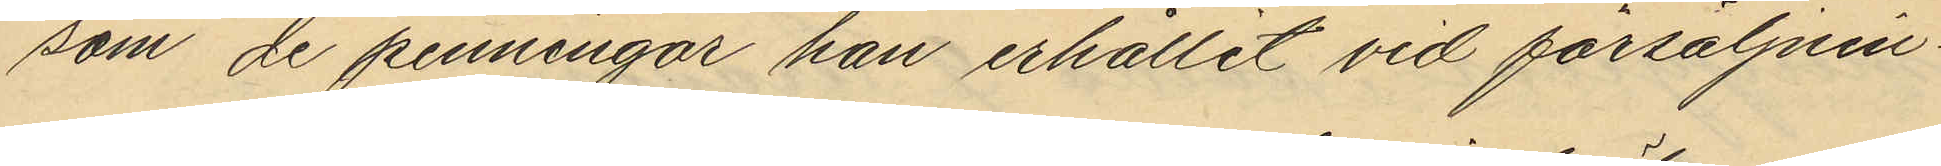som de penningar han erhållit vid försäljnin¬
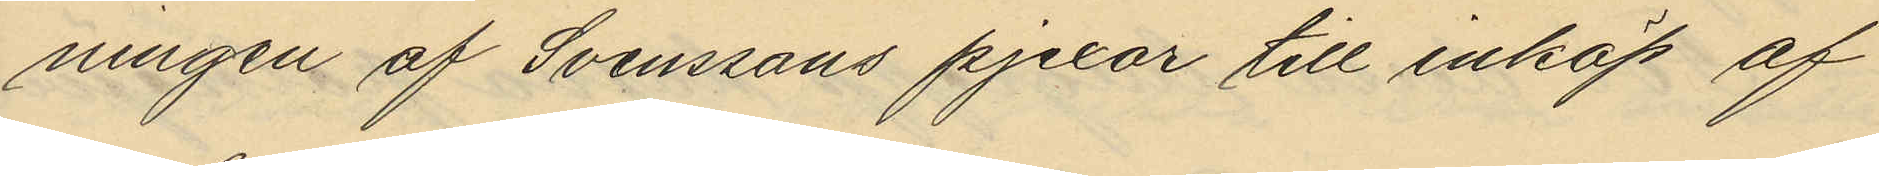ningen af Svenssons pjexor till inköp af
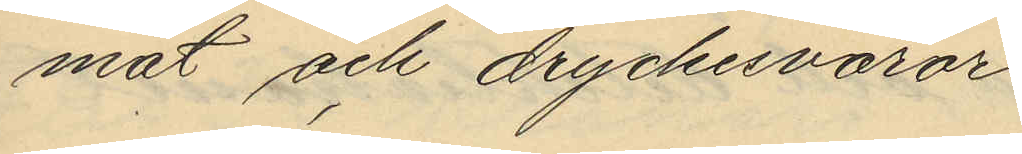mat och dryckesvaror.
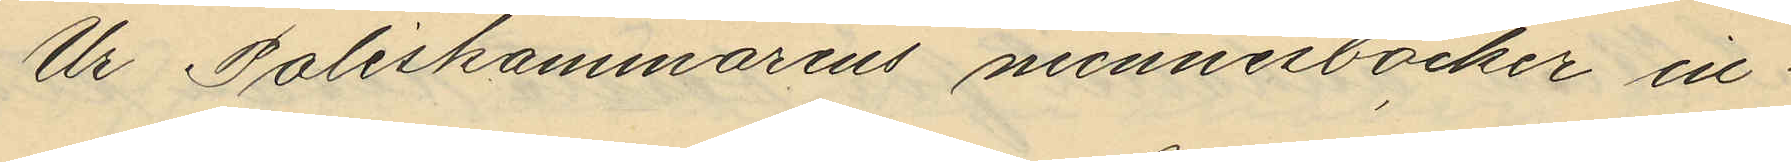Ur Poliskammarens minnesböcker in¬
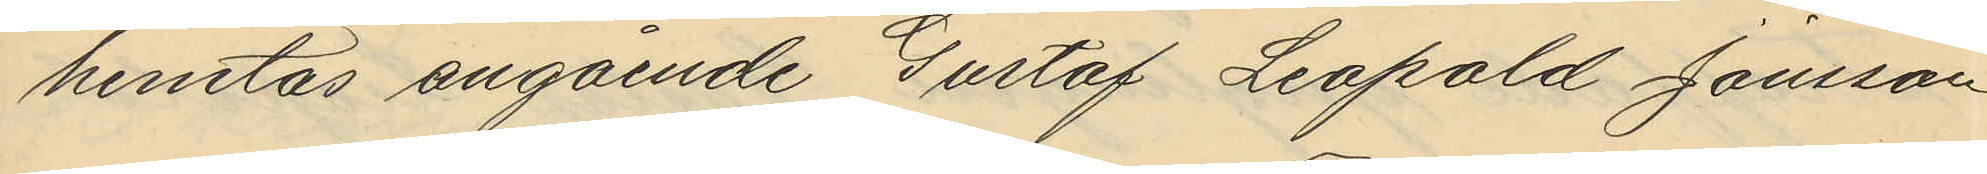hemtas angående Gustaf Leopald Jönsson
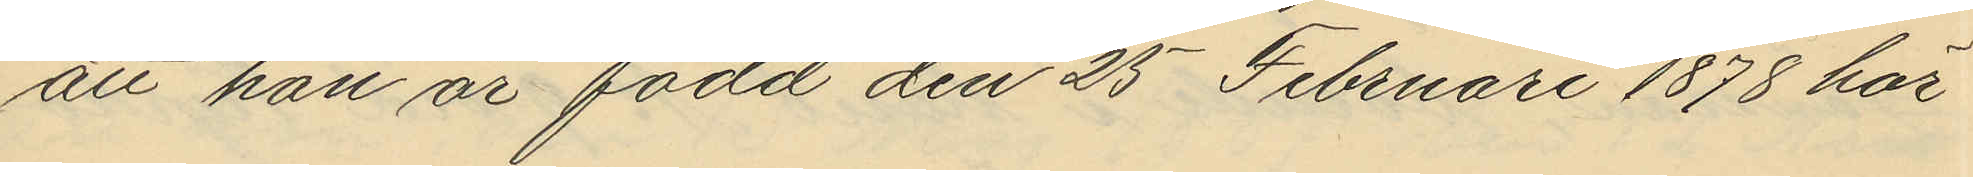att han är född den 25 Februari 1878 här
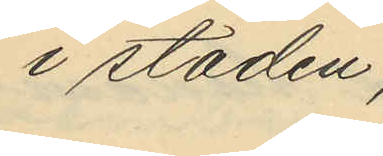i staden.
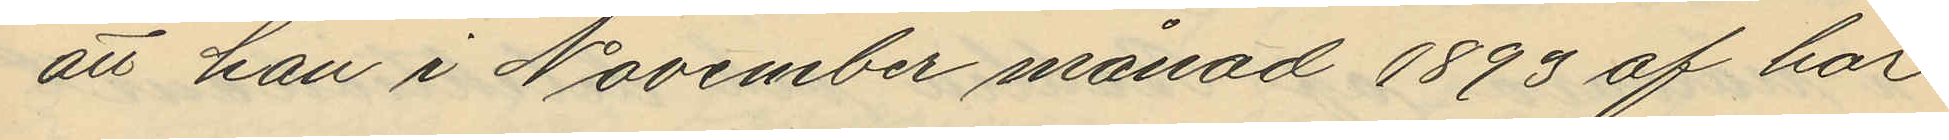att han i November månad 1893 af här¬
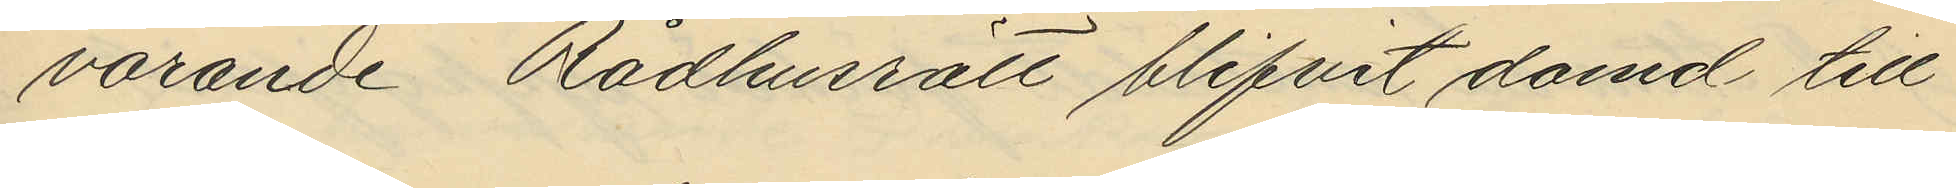varande Rådhusrätt blifvit dömd till
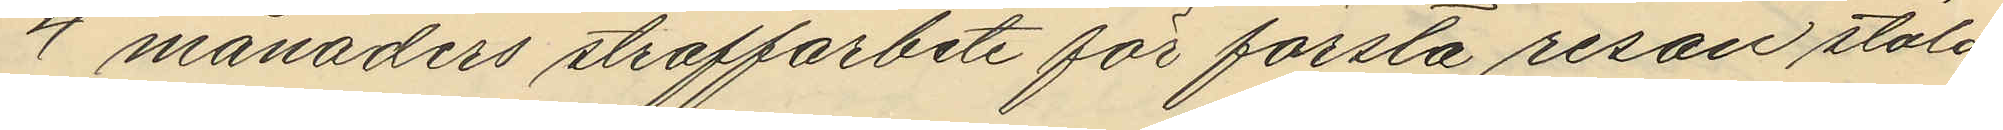4 månaders straffarbete för första resan stöld
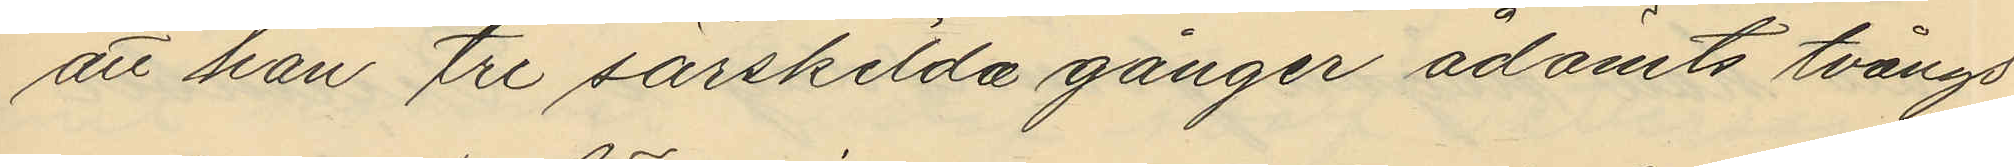att han tre särskilda gånger ådömts tvångs
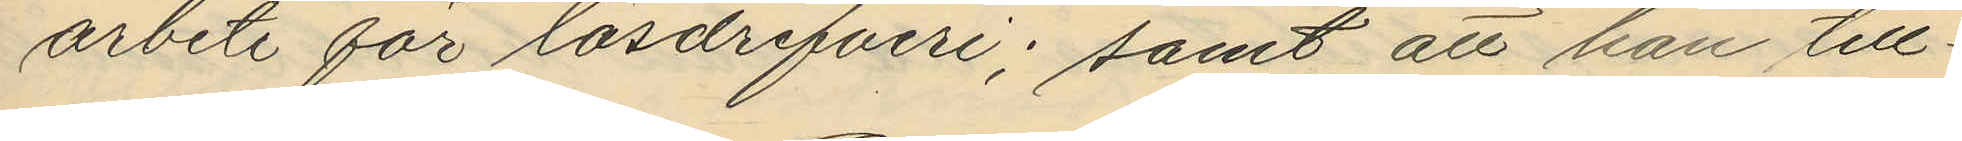arbete för lösdrifveri; samt att han till¬
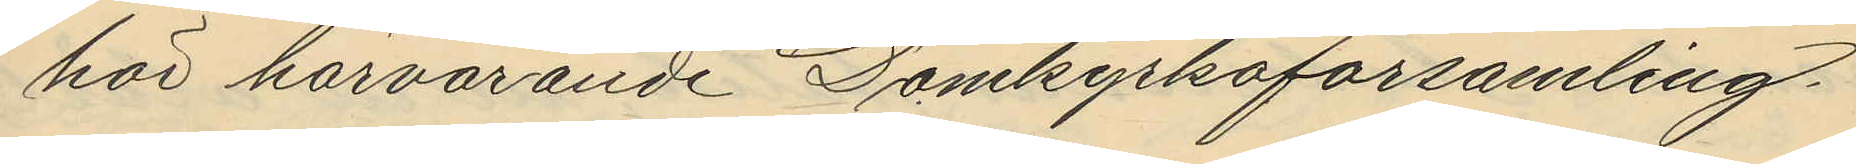hör härvarande Domkyrkoförsamling.
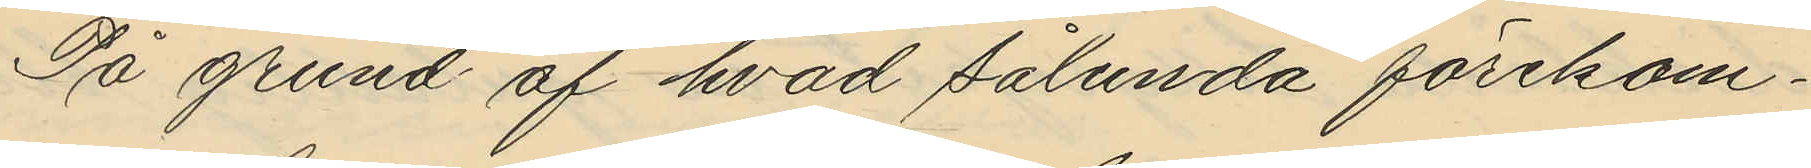På grund af hvad sålunda förekom¬
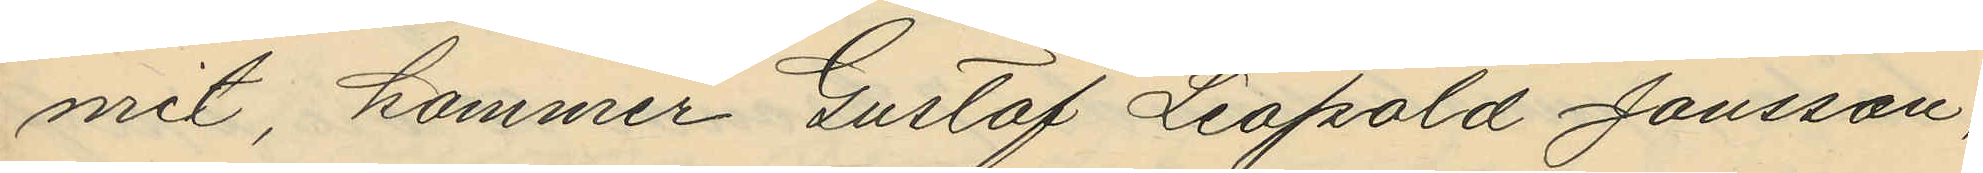mit, kommer Gustaf Leopold Jönsson,
